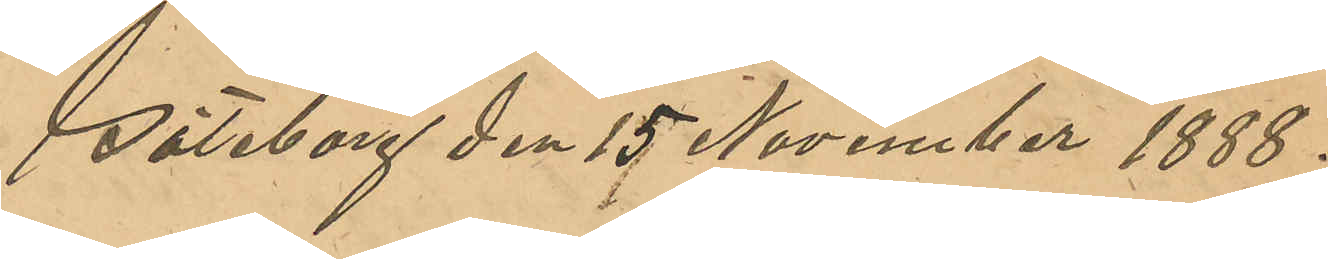Göteborg den 15 November 1888.
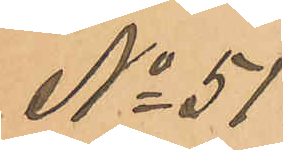No 51
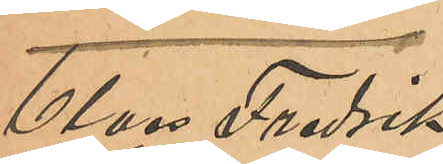Claes Fredrik
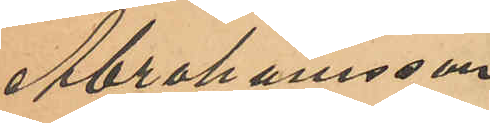Abrahamsson
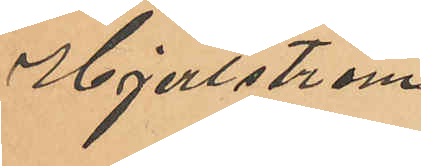Hjertström.
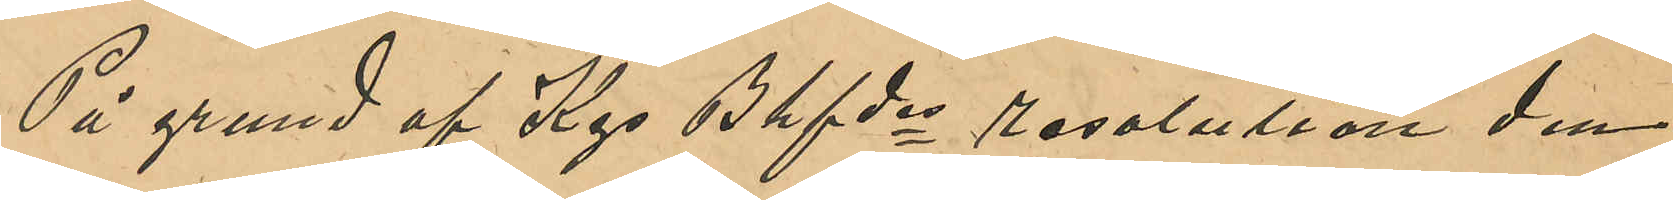På grund af Kgs Bhfdes resolution den
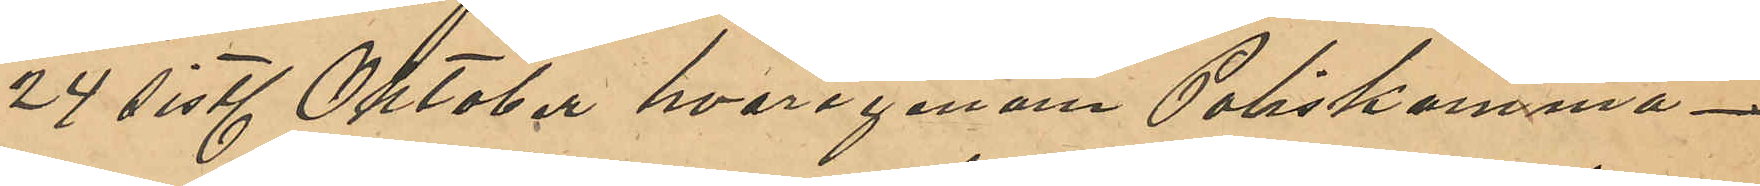24 sistl Oktober, hvarigenom Poliskamma¬
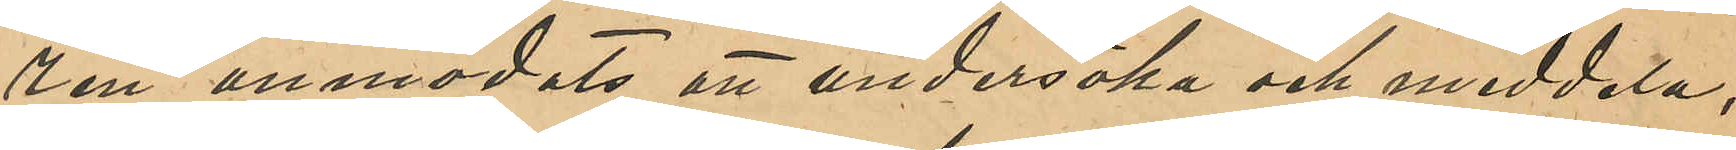ren anmodats att undersöka och meddela
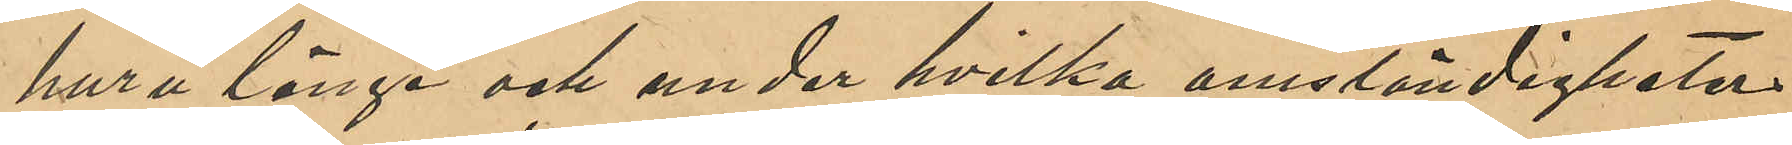huru länge och under hvilka omständigheter
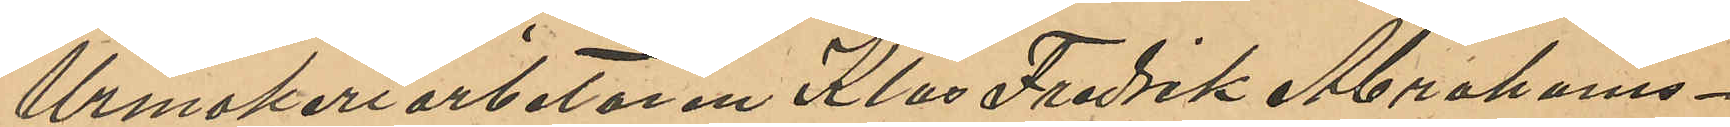Urmakeriarbetaren Klas Fredrik Abrahams¬
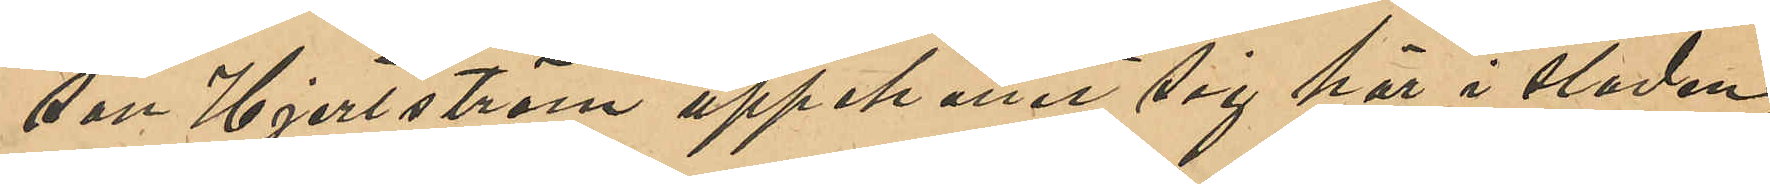son Hjertström uppehållit sig här i staden,
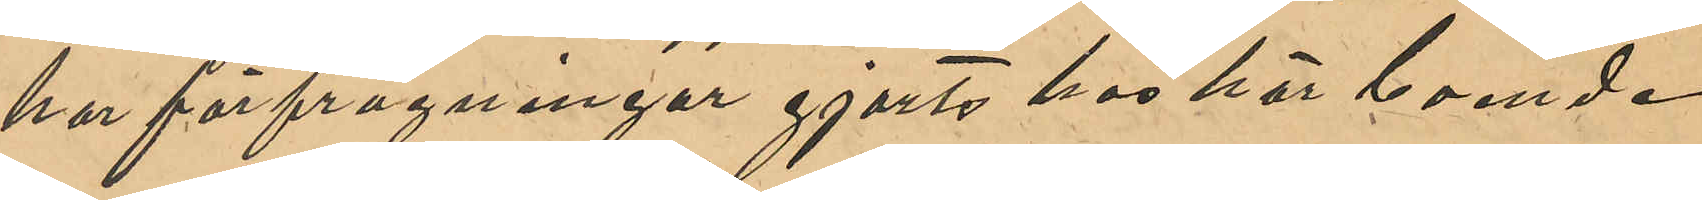har förfrågningar gjort hos här boende
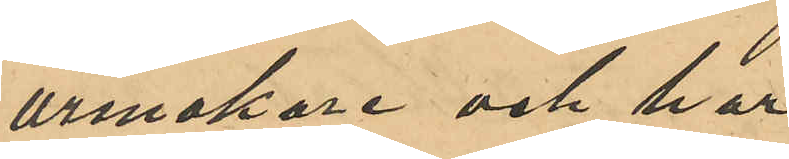urmakare och har
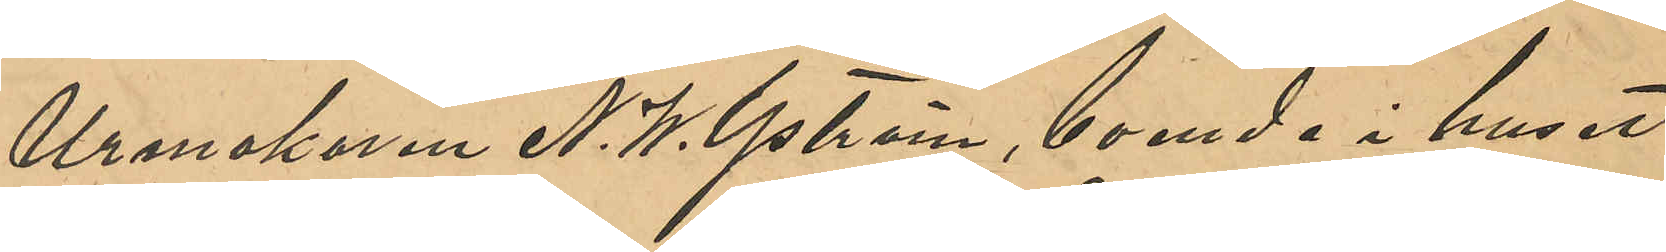Urmakaren N. W. Yström, boende i huset
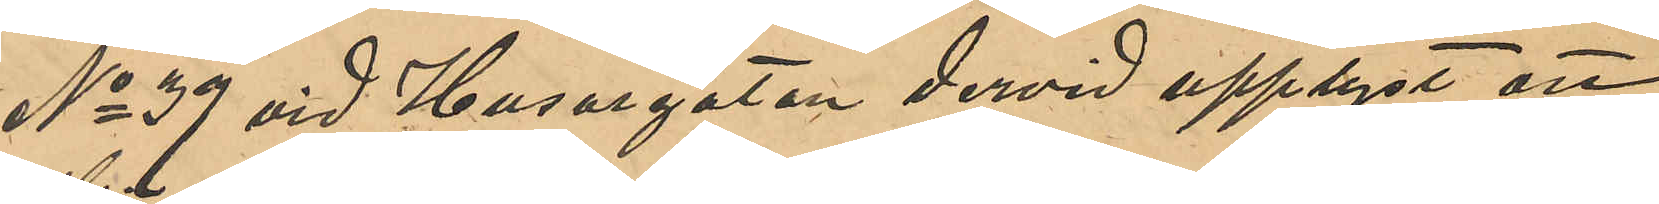No 39 vid Husargatan dervid upplyst att
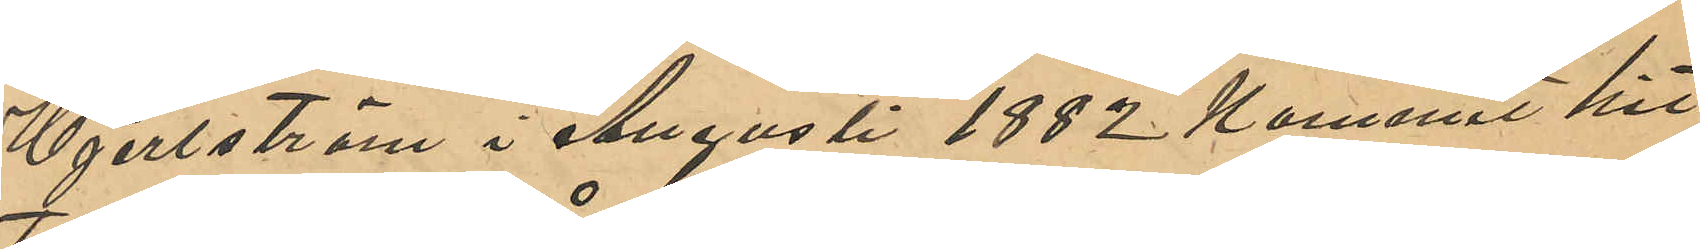Hjertström i Augusti 1882 kommit hit
